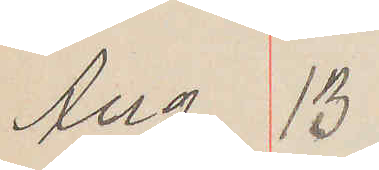Aug 13
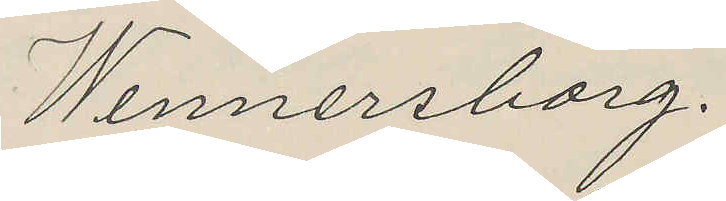Wennersborg.
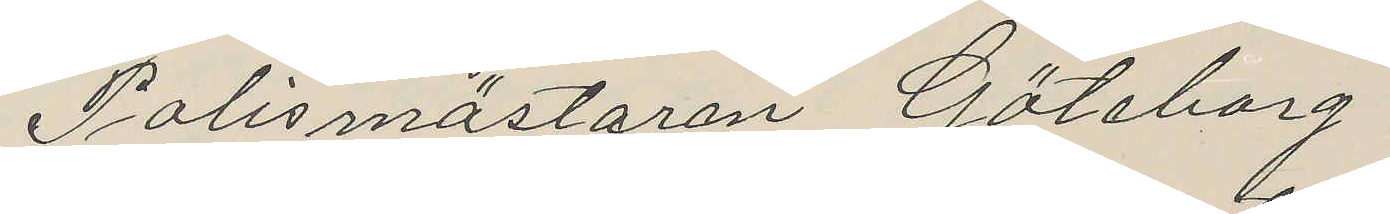Polismästaren Göteborg
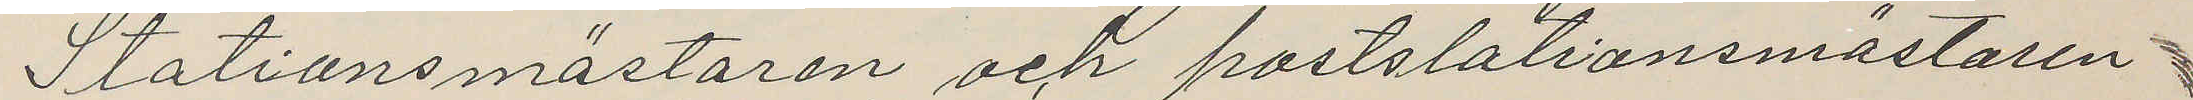Stationsmästaren och poststationsmästaren
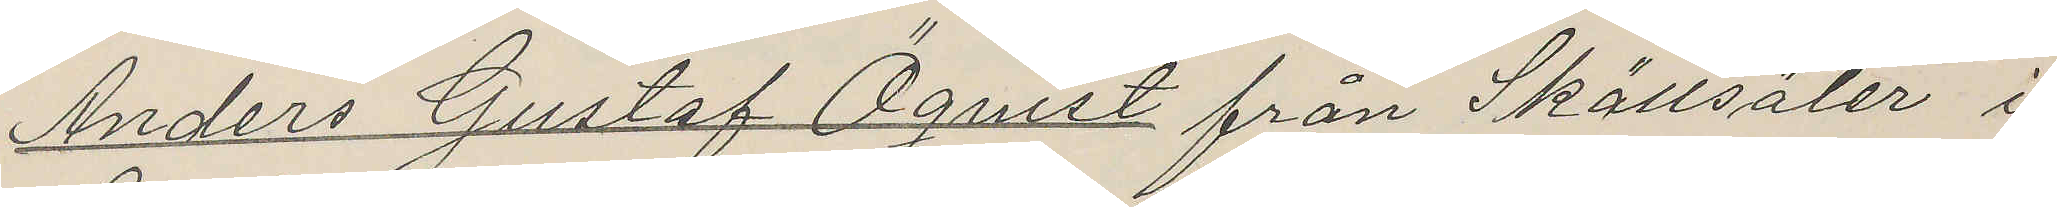Anders Gustaf Öquist från Skällsäter i
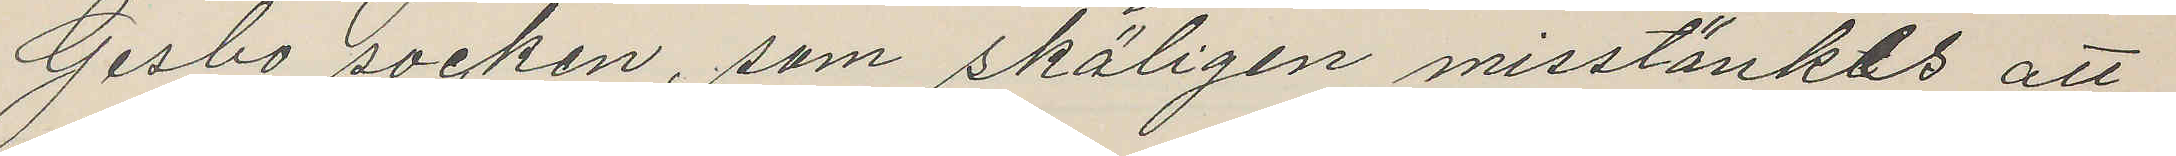Gesbo socken, som skäligen misstänkes att
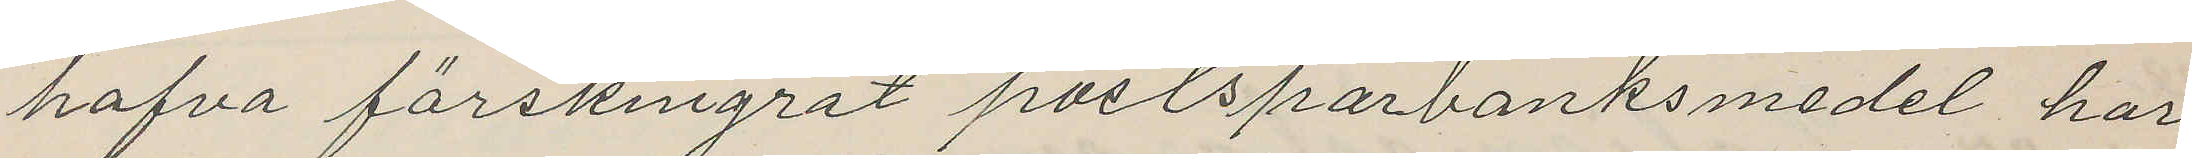hafva förskingrat postsparbanksmedel har
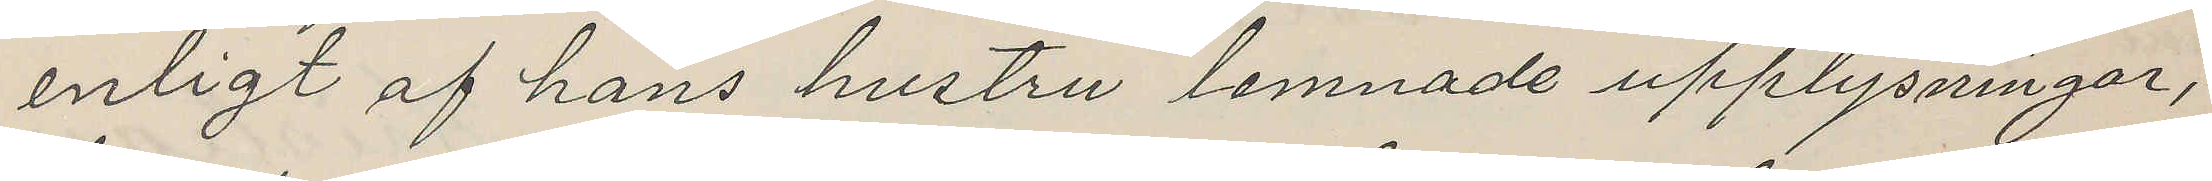enligt af hans hustru lemnade upplysningar,
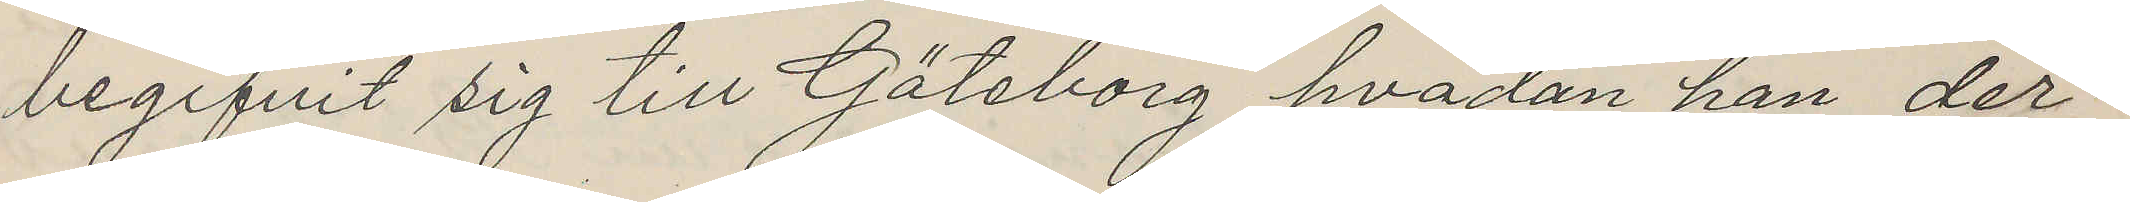begifvit sig till Göteborg hvadan han der¬
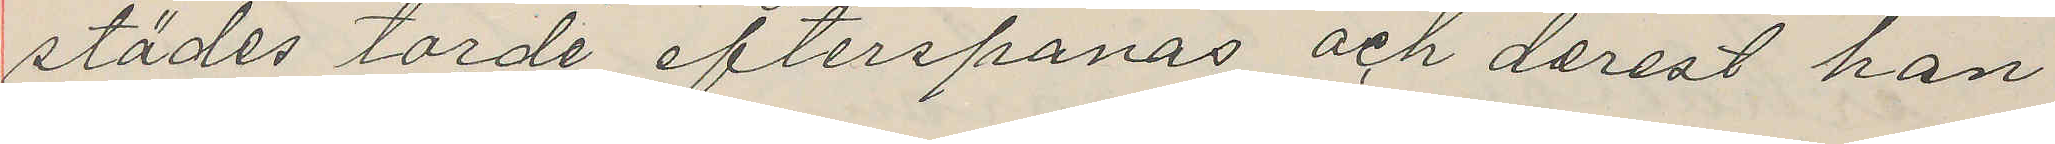städes torde efterspanas och derest han
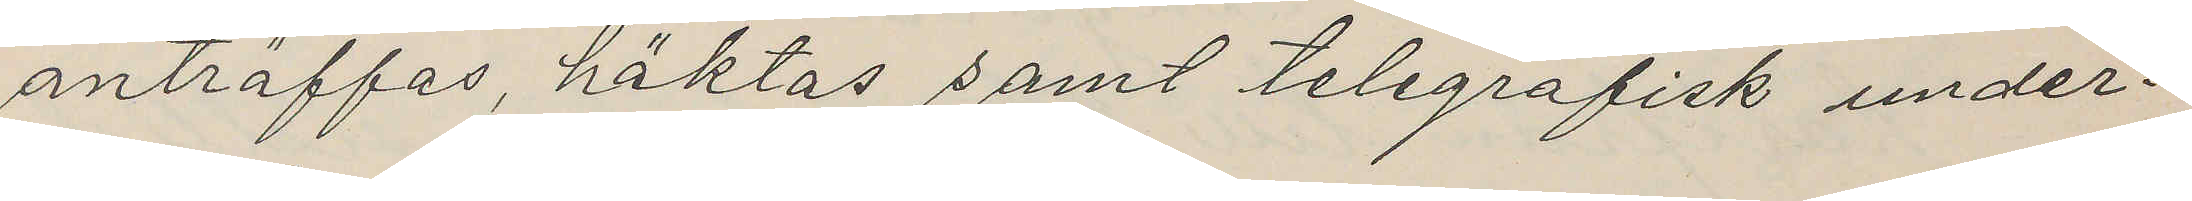anträffas, häktas samt telegrafisk under¬
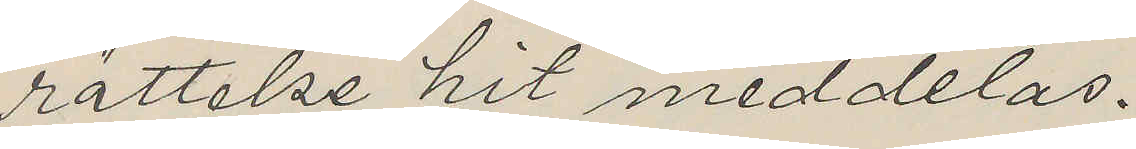rättelse hit meddelas.
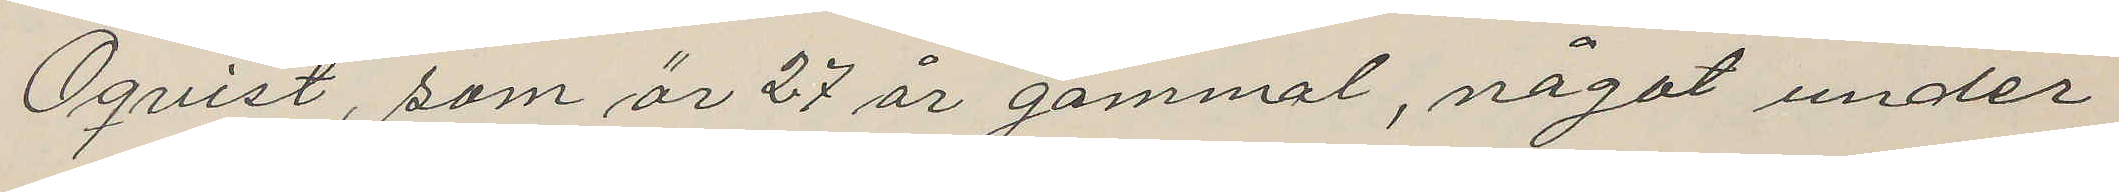Öquist, som är 27 år gammal, något under
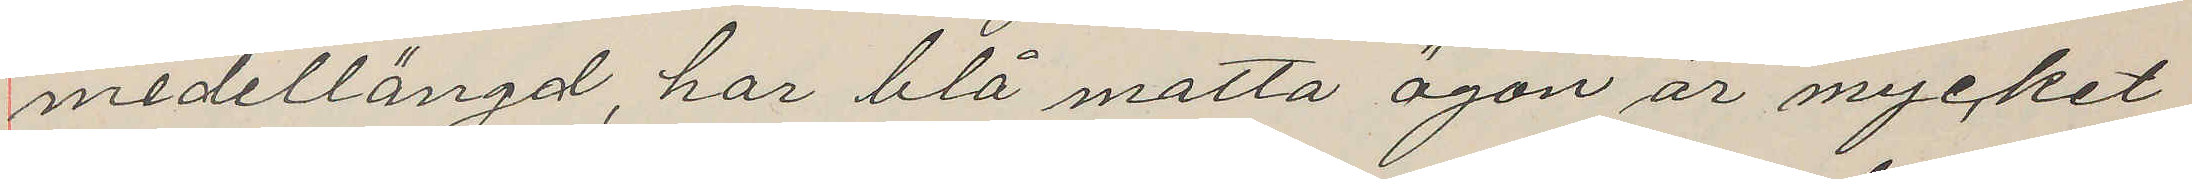medellängd, har blå matta ögon, är mycket
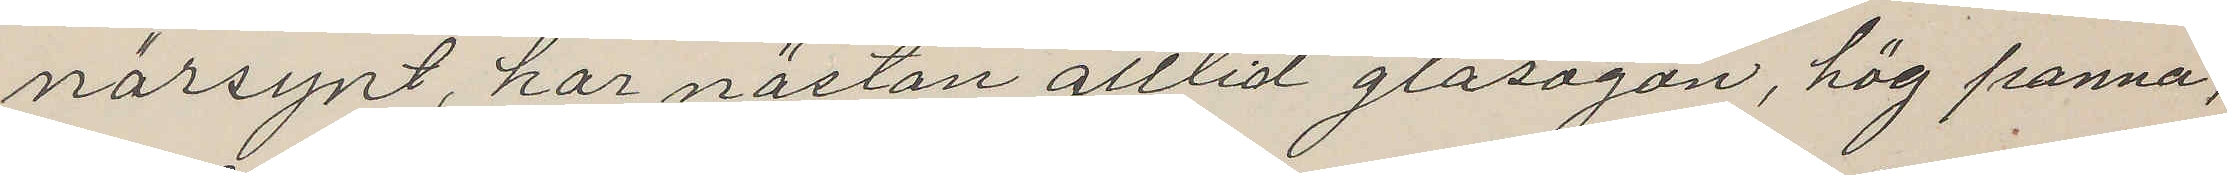närsynt, har nästan alltid glasögon, hög panna,
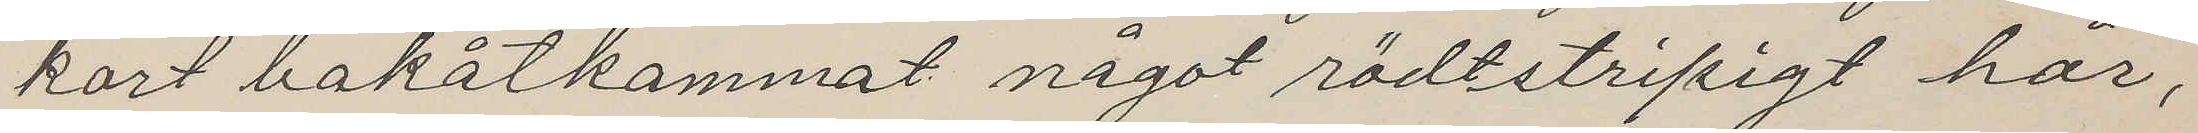kort bakåtkammat något rödtstripigt hår,
